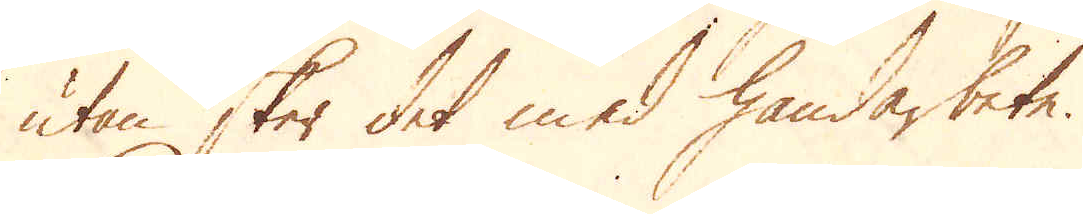utan sker det med handarbete.
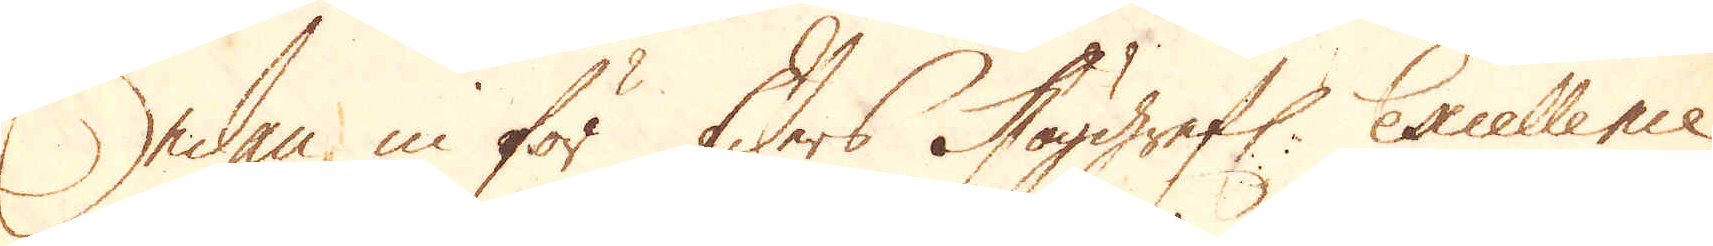Sedan in för Eders Höggrefl: Excellence
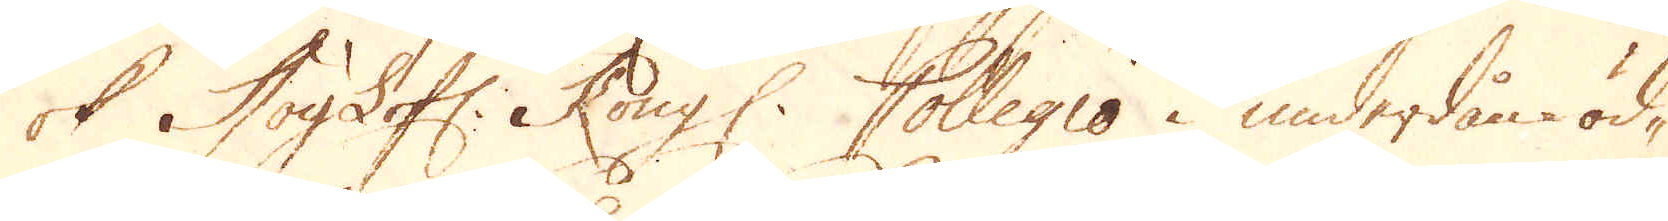ok HögLofl: Kongl. Collegio i underdån-öd-
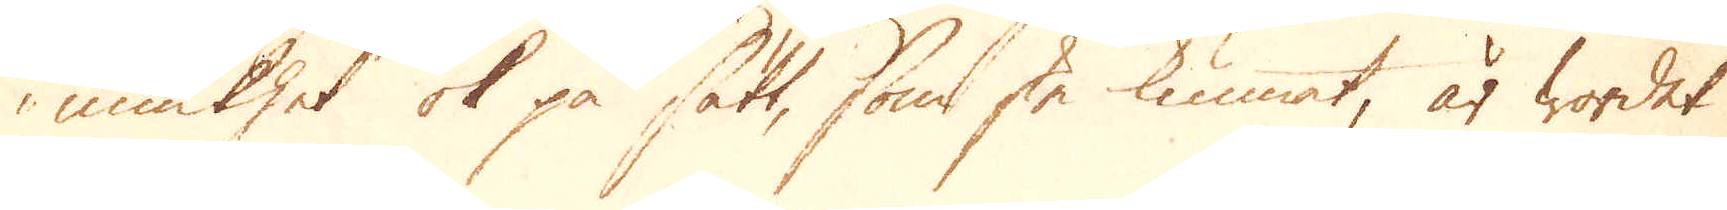miukhet ok på sätt, som ske kunnat, är wordet
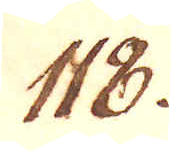118.
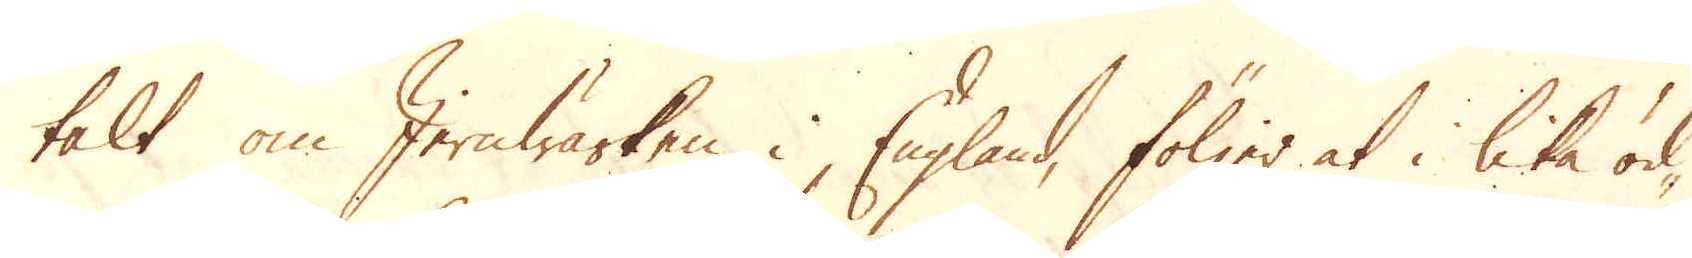talt om Jernwärken i England, följer at i lika öd-
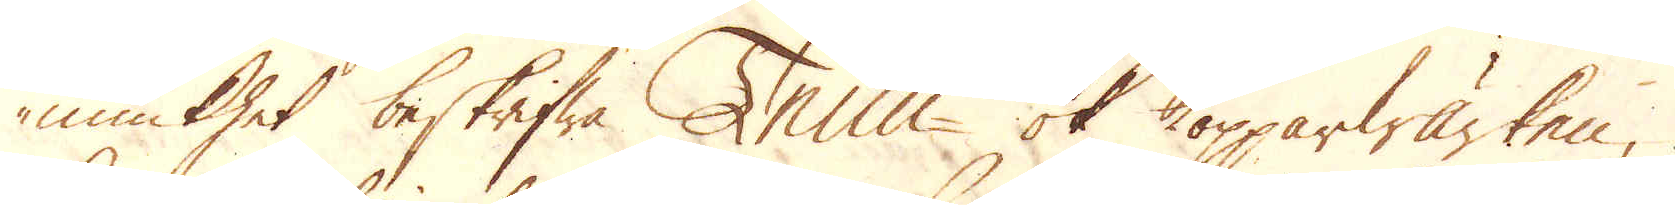miukhet beskrifwa Tenn- ok Kopparwärken,
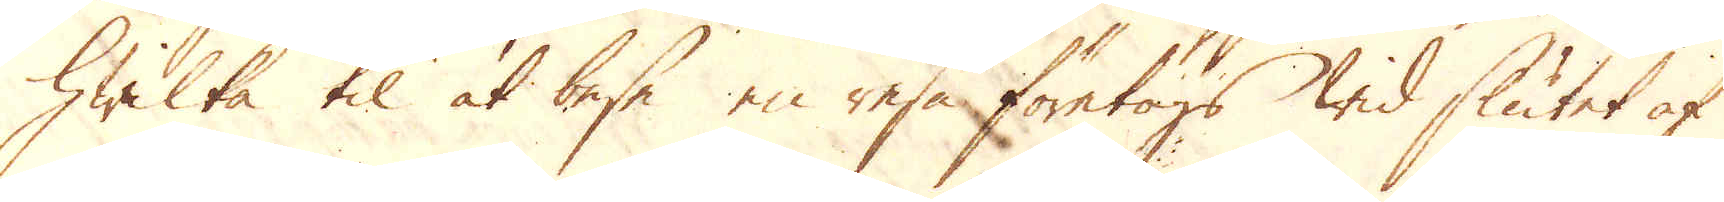hwilka til at bese en resa företogs wid slutet af
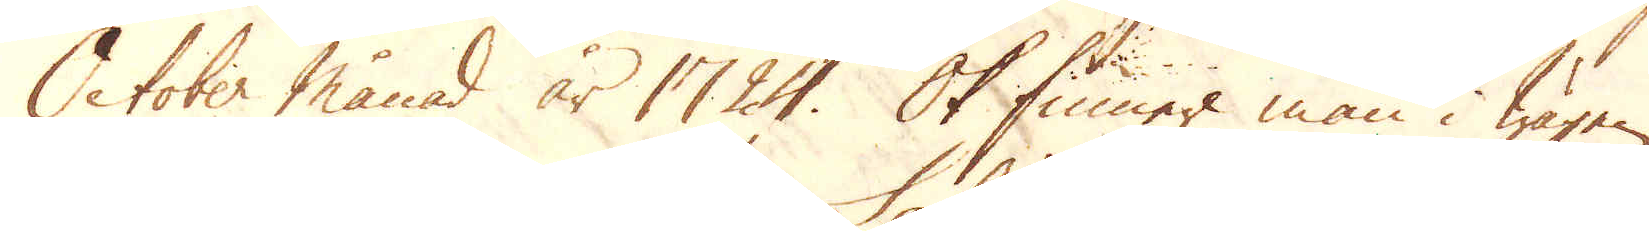October månad år 1724. Ok finner man i wägen
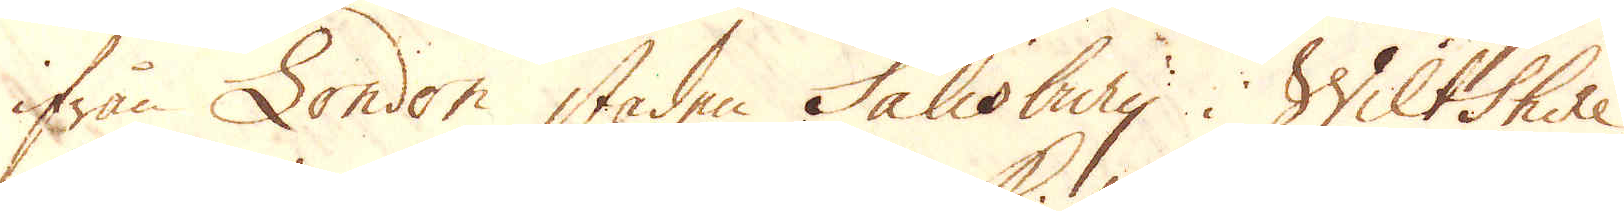ifrån London staden Salisbury i Wiltshire,
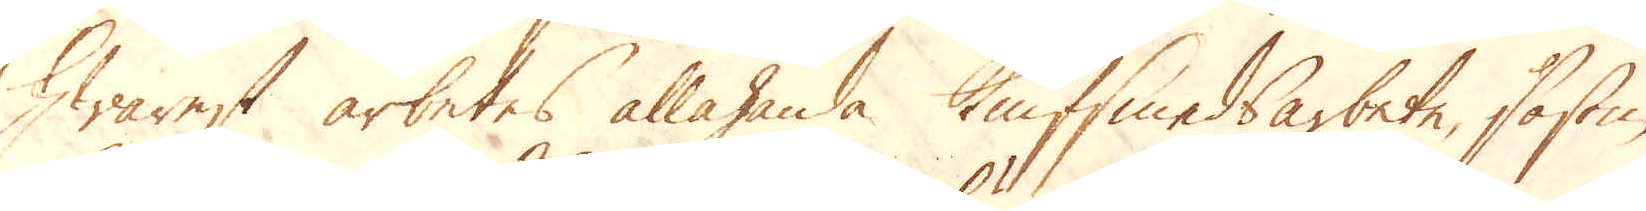hwarest arbetes allahanda Knifsmedsarbete, såsom
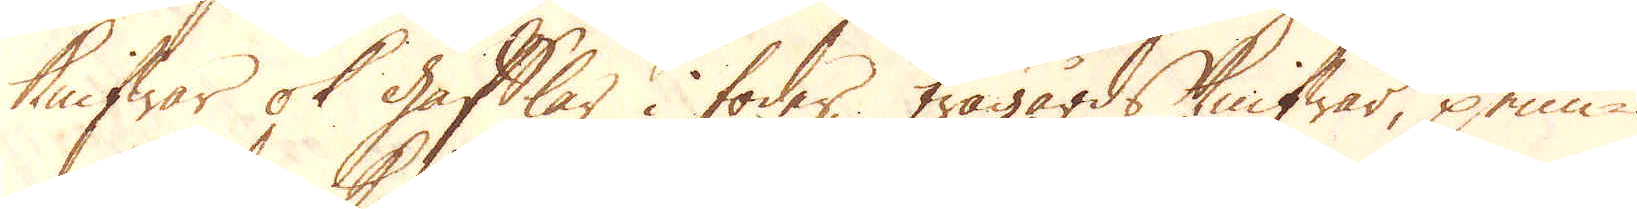knifwar ok gafflar i foder, trägårds knifwar, penn-
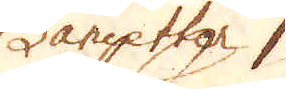Lancetter,
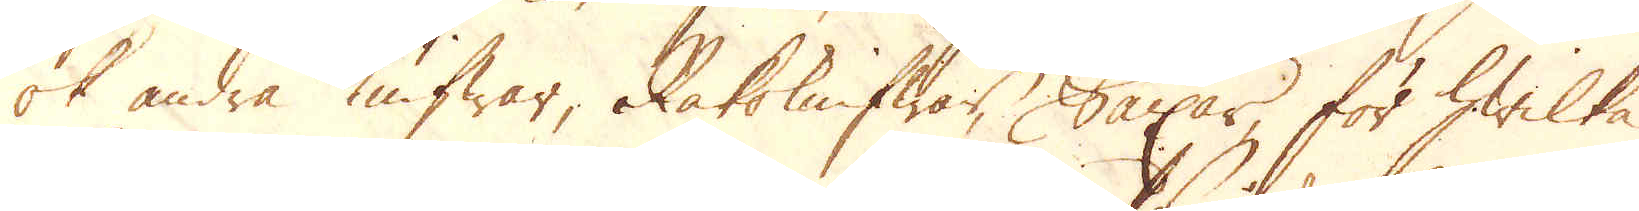ok andra Knifwar, Rakeknifwar, Saxar, för hwilka
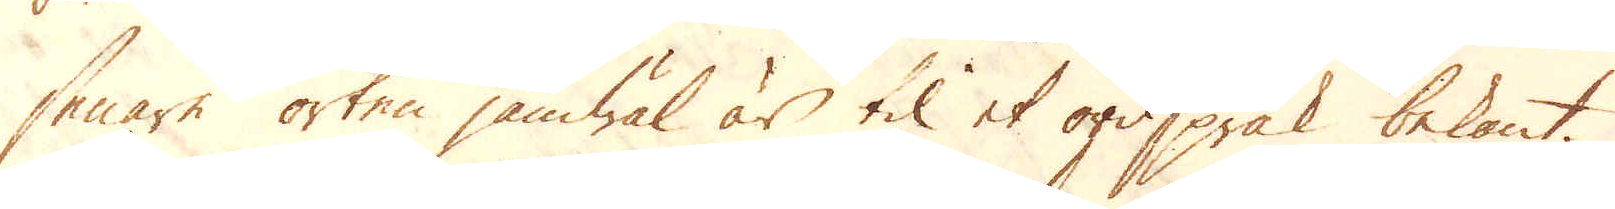senare orten jämwäl är til et ordspråk bekant.
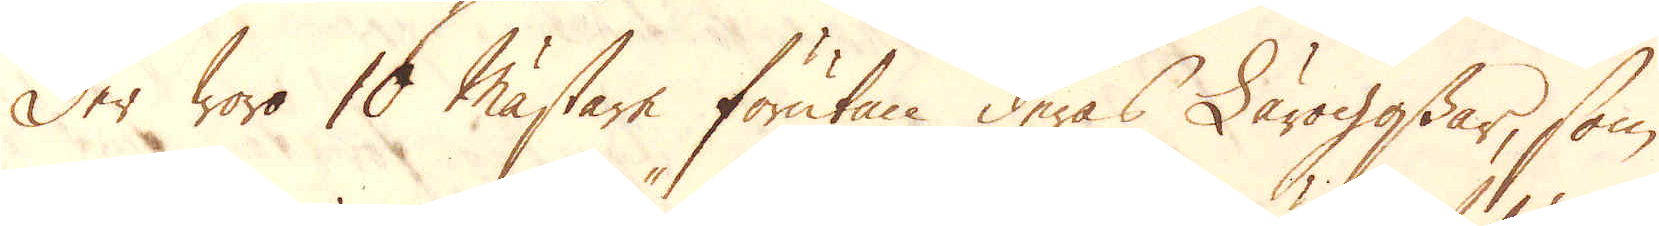Der woro 10 Mästare förutan deras Lärogossar, som
